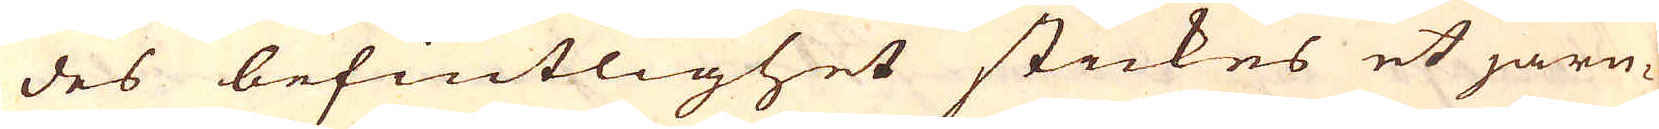des befintlighet stickes et järn-
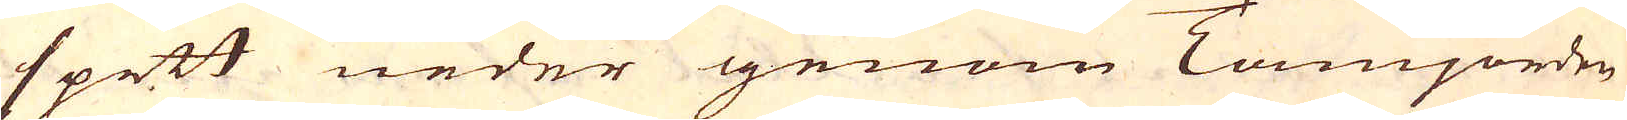spett neder genom Tamjorden
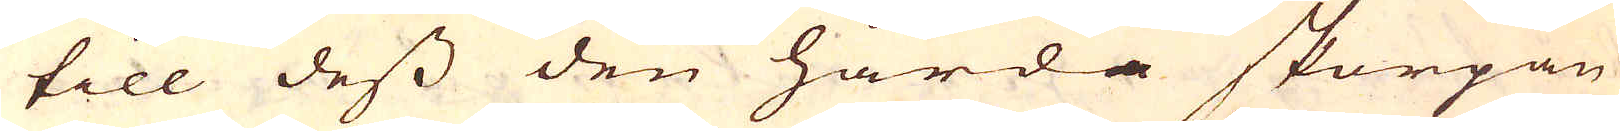till dess den hårda skorpan
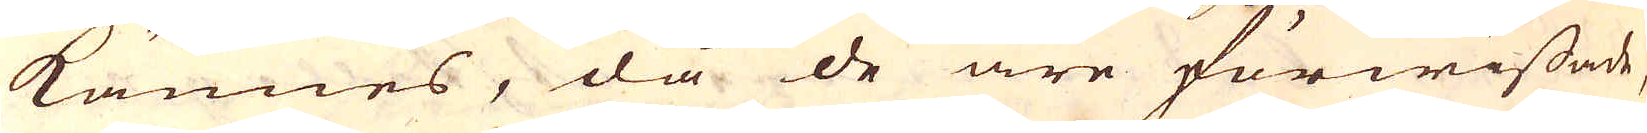kännes, då de äre förwissade,
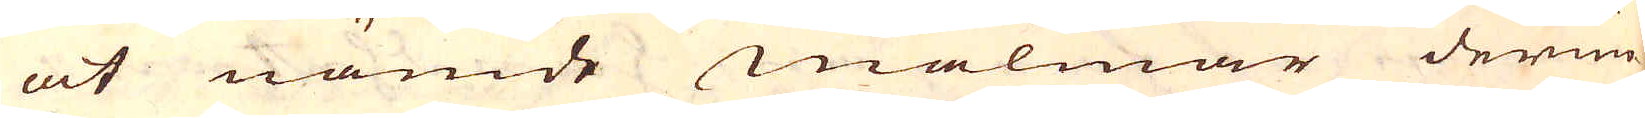at nämde malmar derun-
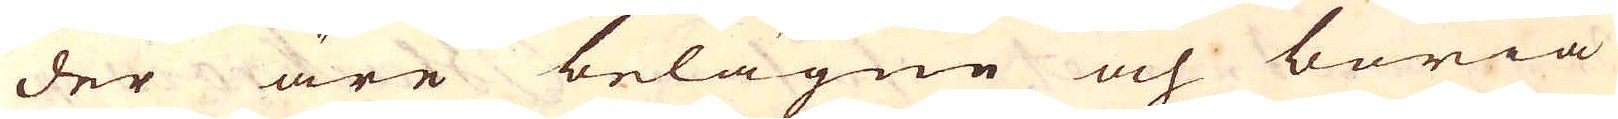der äre belägne och böria
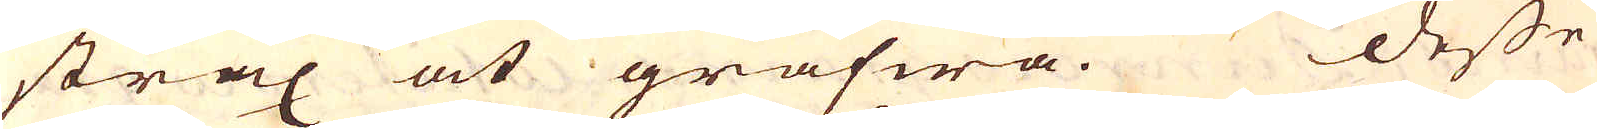strax at grafwa. Desse
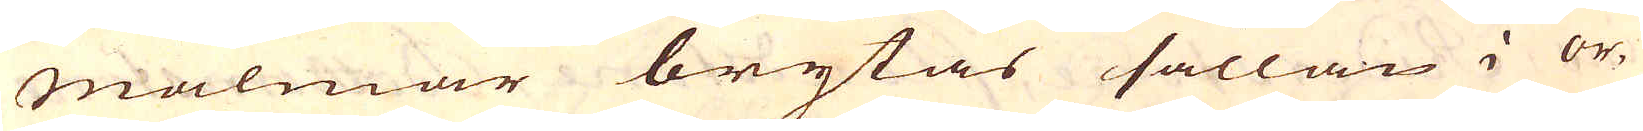malmar brytas sällan i or-
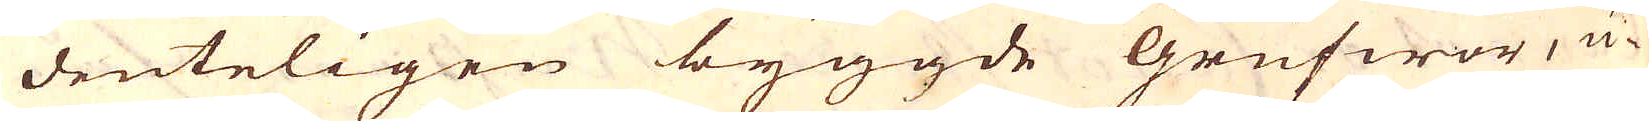denteligen byggde Grufwor, u-
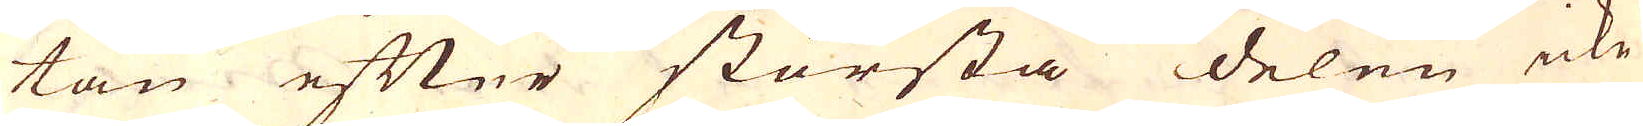tan efter största delen icke
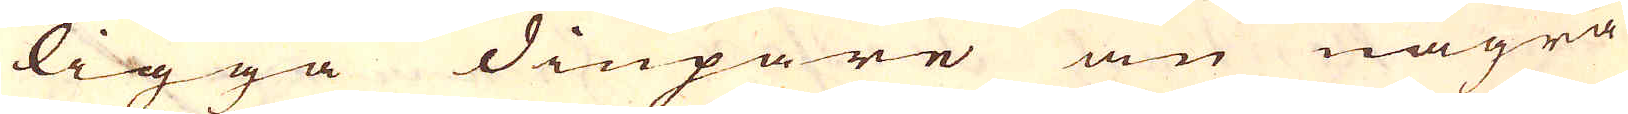ligga diupare än några
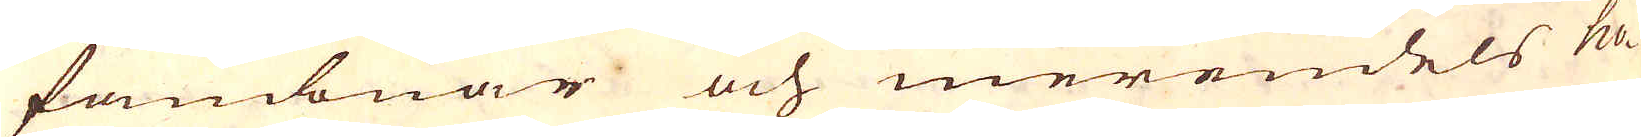fambnar och merendels ho-
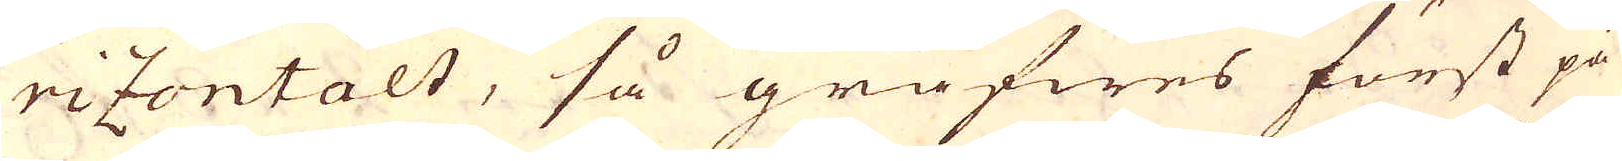rizontalt, så gräfwes först på
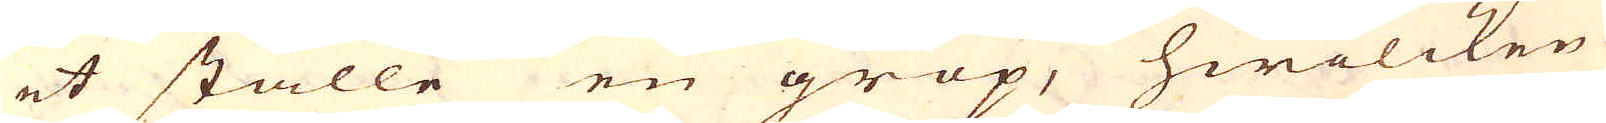et ställe en grop, hwilcken
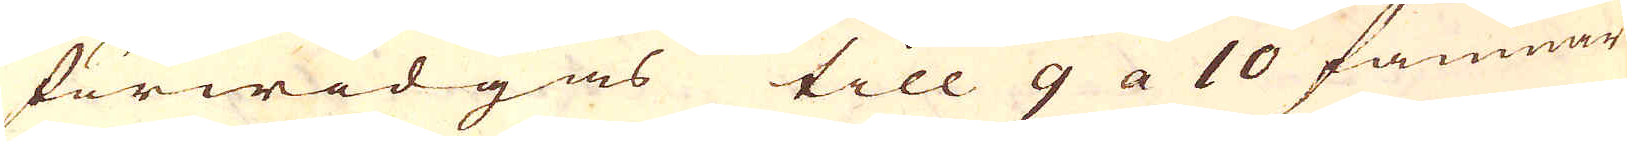förwidgas till 9 a 10 famnar
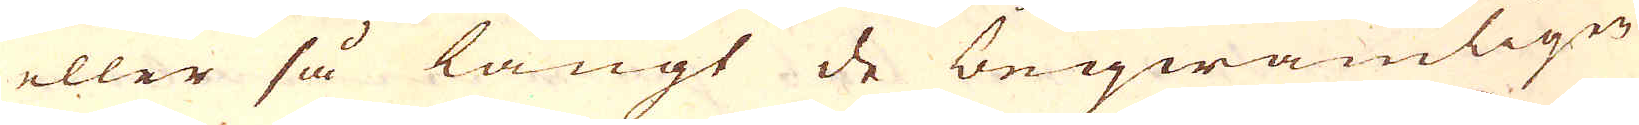eller så långt de beqwämligen
